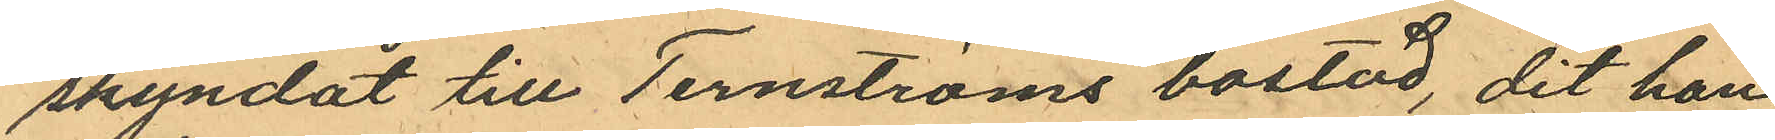skyndat till Ternströms bostad, dit han
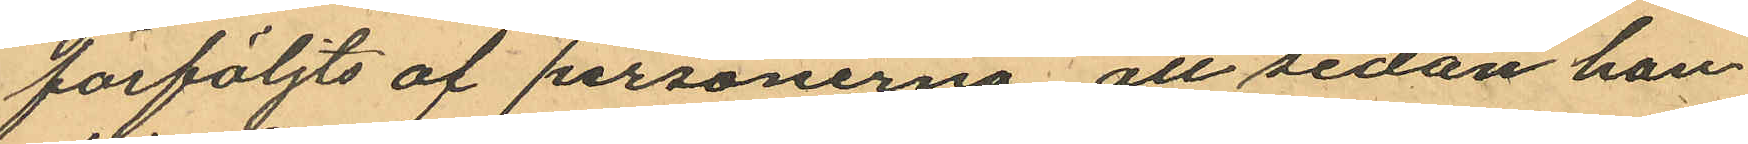förföljts af personerna att sedan han
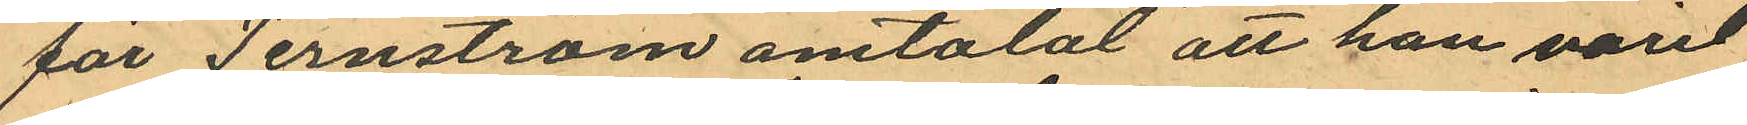för Ternström omtalat att han varit
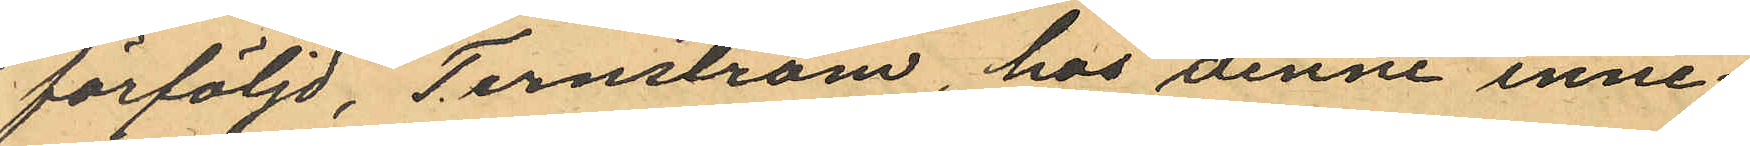förföljd, Ternström, hos denne inne¬
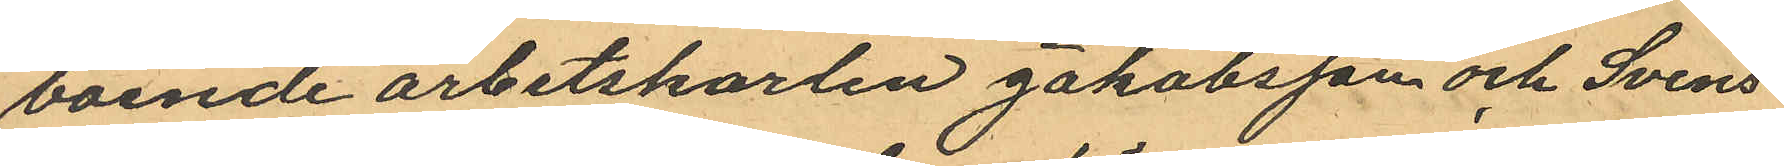boende arbetskarlen Jakobsson och Svens¬
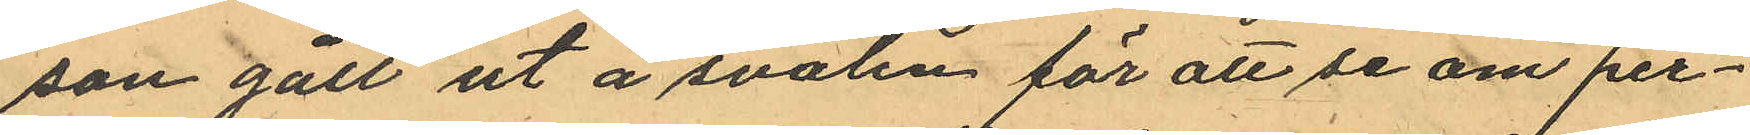son gått ut å svalen för att se om per¬
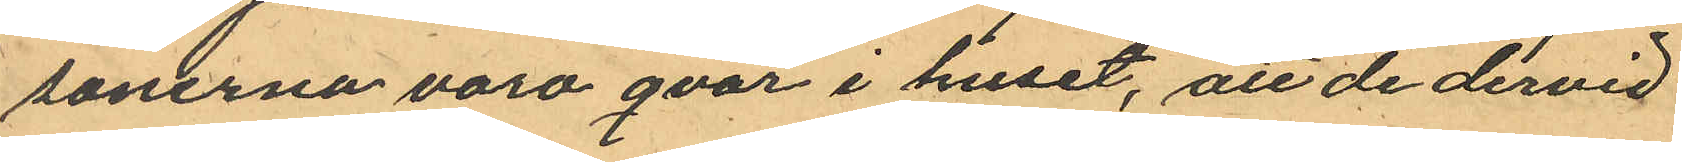sonerna varo qvar i huset, att de dervid
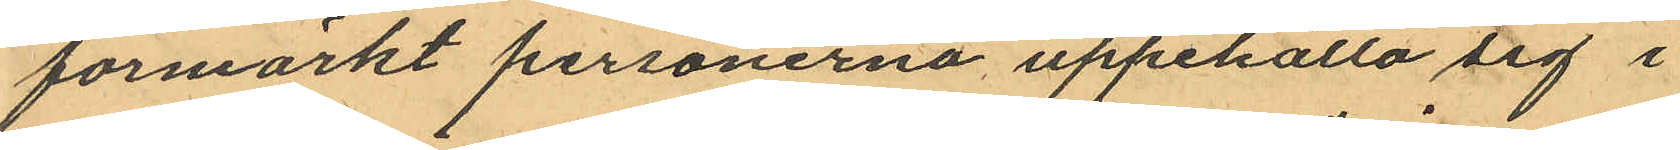förmärkt personerna uppehålla sig i
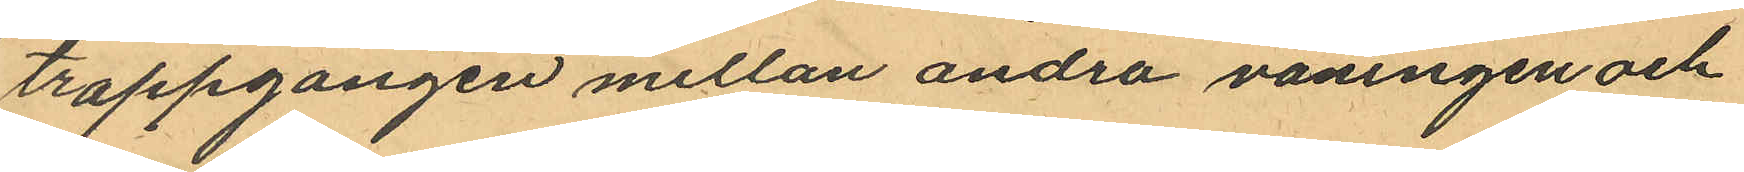trappgången mellan andra våningen och
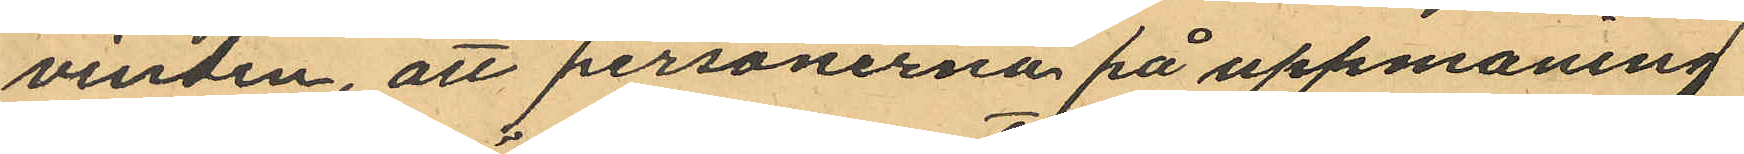vinden, att personerna på uppmaning
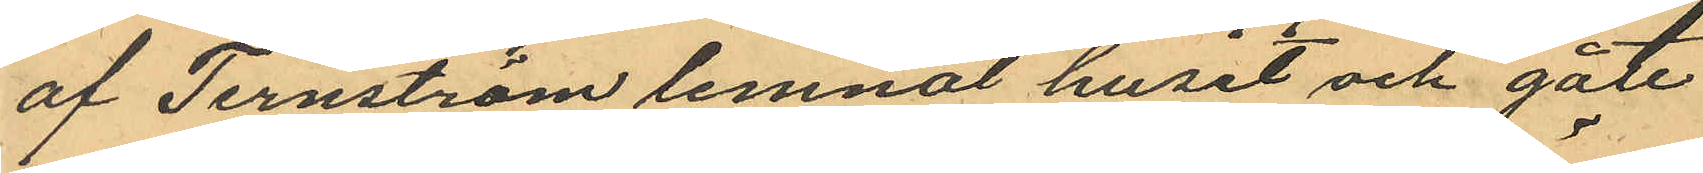af Ternström lemnat huset och gått
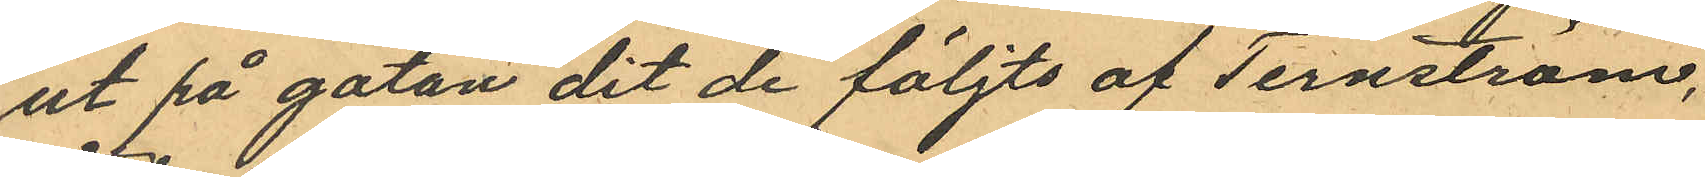ut på gatan dit de följts af Ternström,
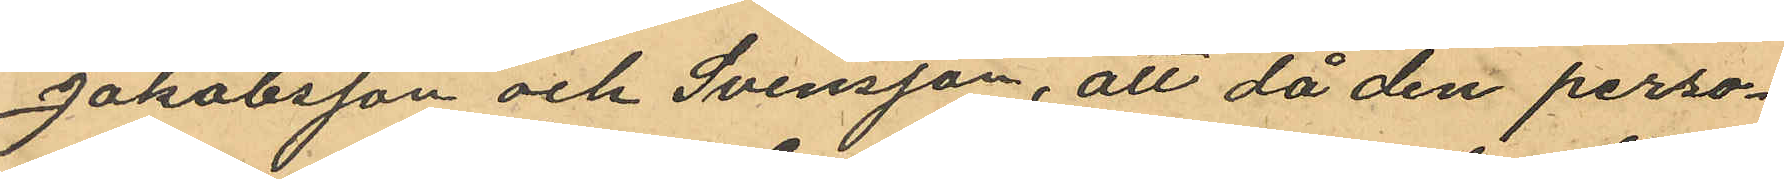Jakobsson och Svensson, att då den perso¬
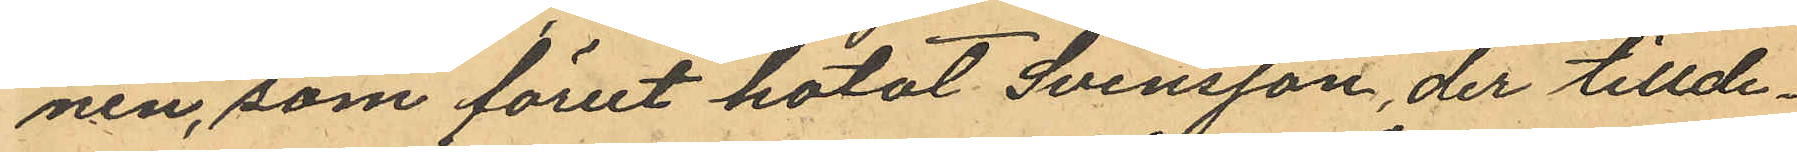nen, som förut hotat Svensson, der tillde¬
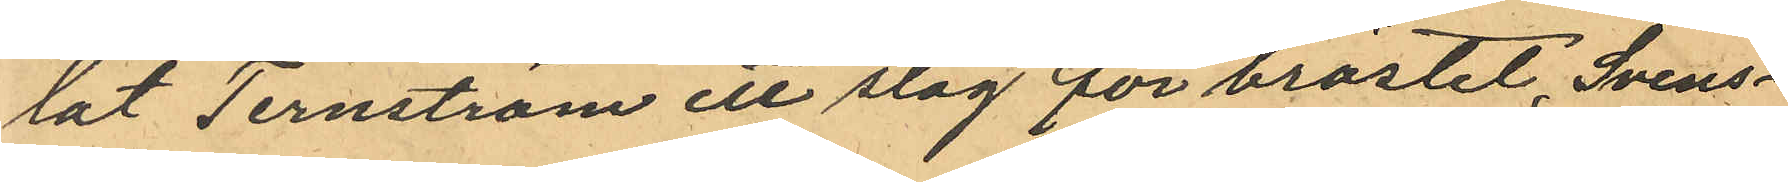lat Ternström ett slag för bröstet, Svens¬
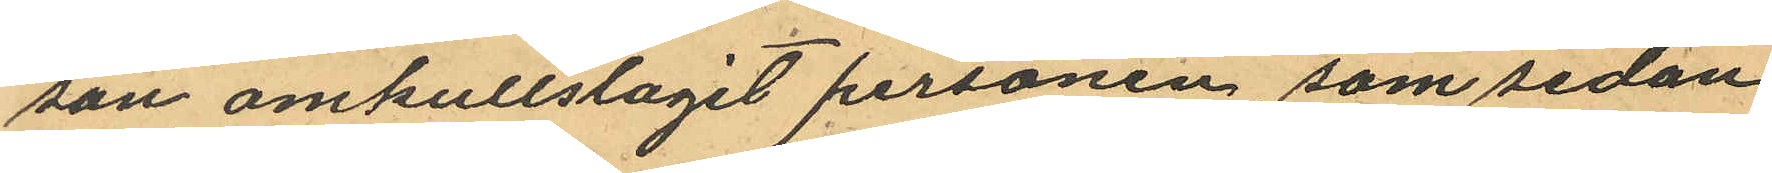son omkullslagit personen, som sedan
